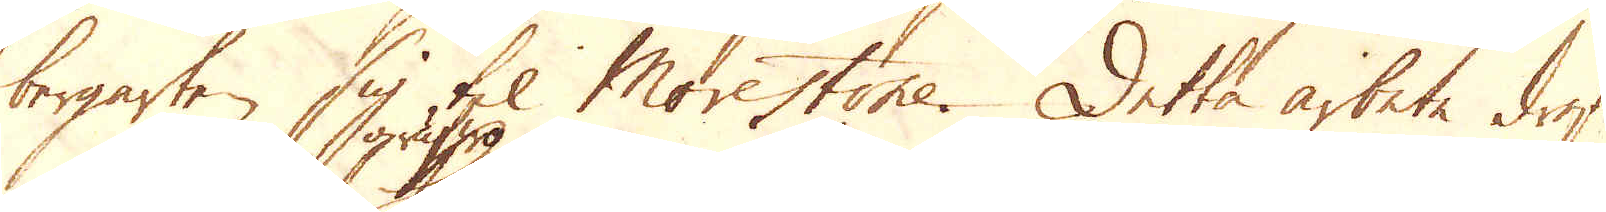bergarten sig til Morestone. Detta arbete drefs
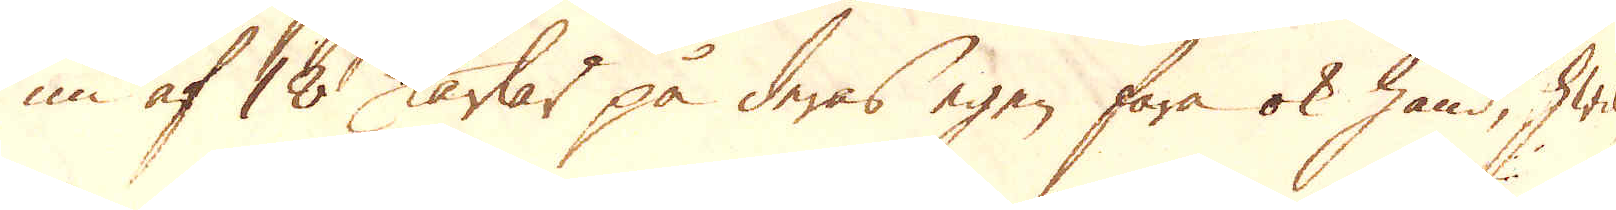nu af 18 grufwokarlar på deras egen fara ok hand, hwil-
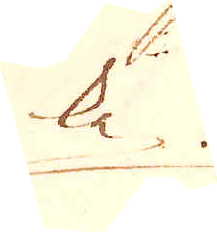ke
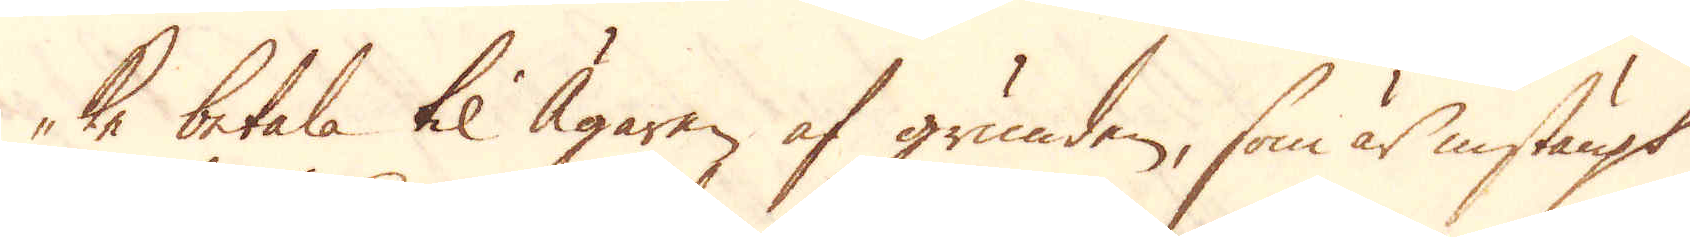ke betala til Ägaren af grunden, som är instängt
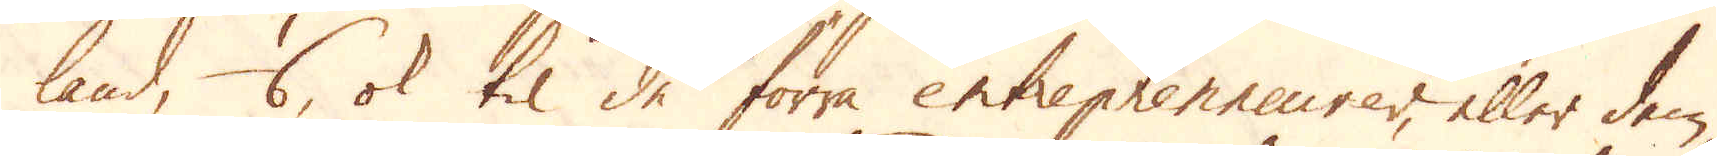land, 1/6, ok til de förra entreprenneurer, eller dem
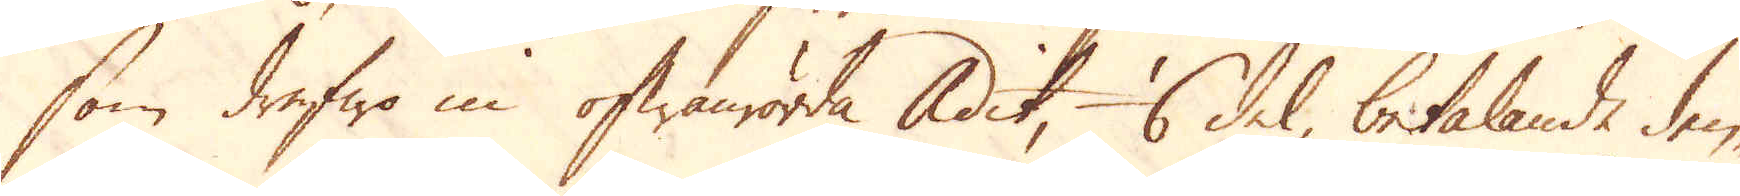som drefwo in ofwanrörda Adit, 1/6 del, betalande den-
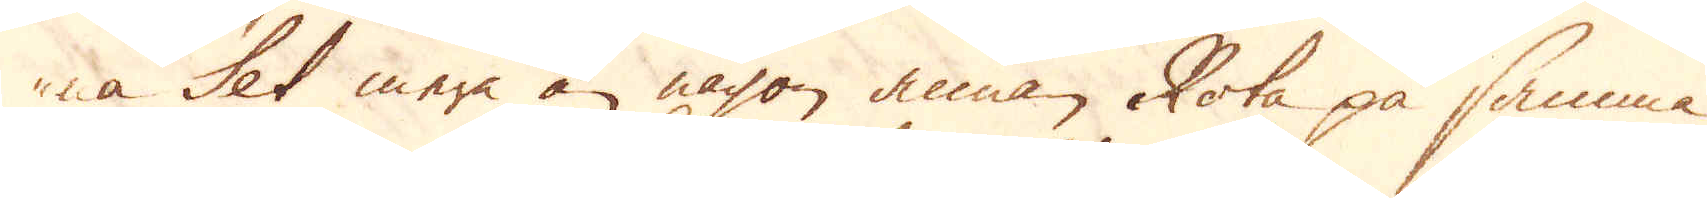na Set mera än någon annan Rota på samma
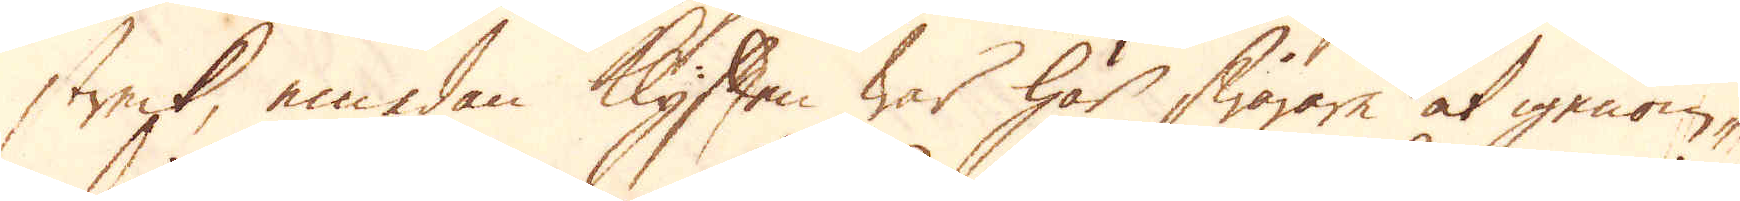streck, emedan Klyften war här swårare at igenom-
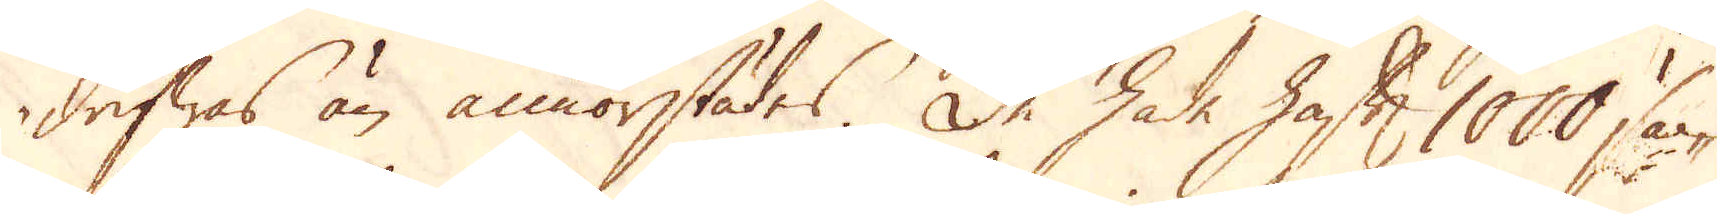drifwas än annorstädes. De hade haft 1000 säc-
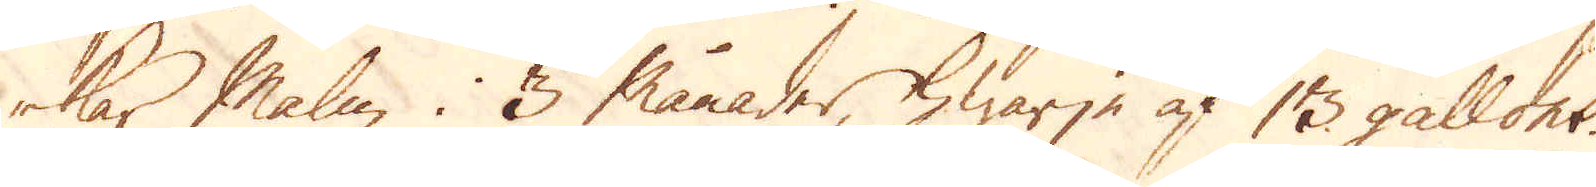kar Malm i 3 månader, hwarje af 13 gallons.
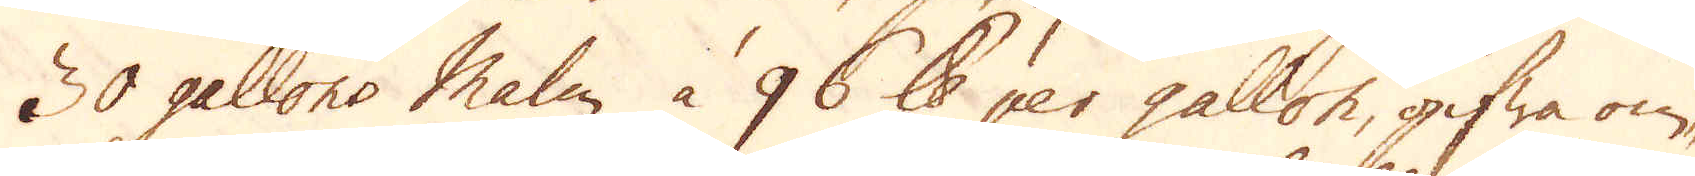30 gallons Malm à 96 skålpund per gallon, gifwa om-
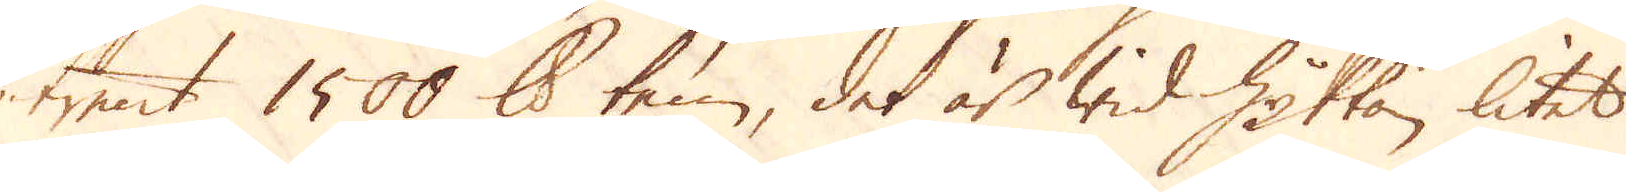trent 1500 skålpund ten, det är wid Hyttan litet
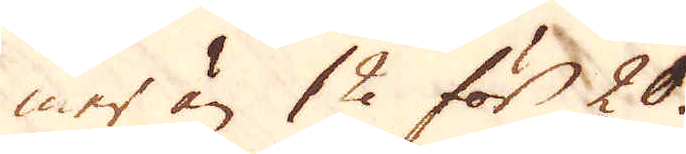mer än 12 för 20.
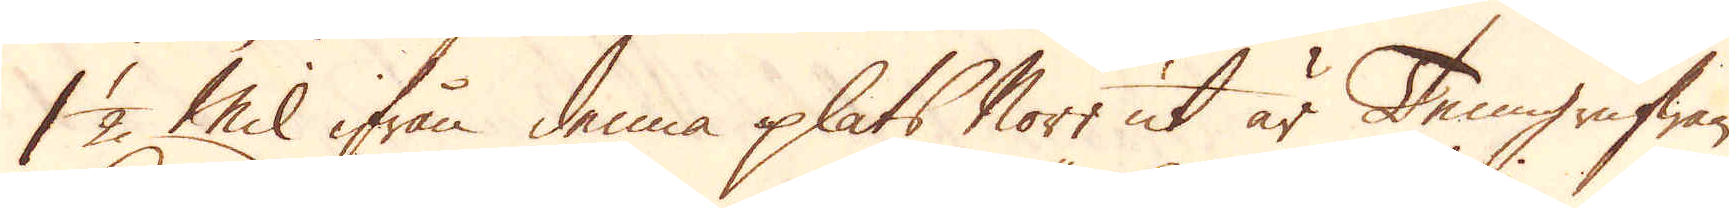1 1/2 Mil ifrån denna plats Norr ut är Tenngrufwan
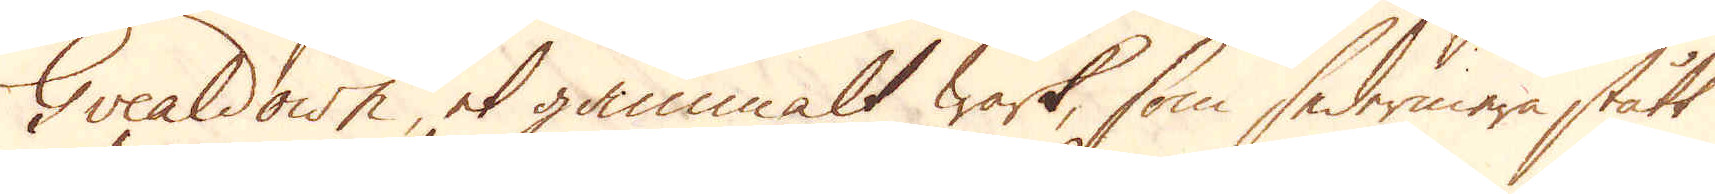Gvealdown, et gammalt wärk, som sedermera stått
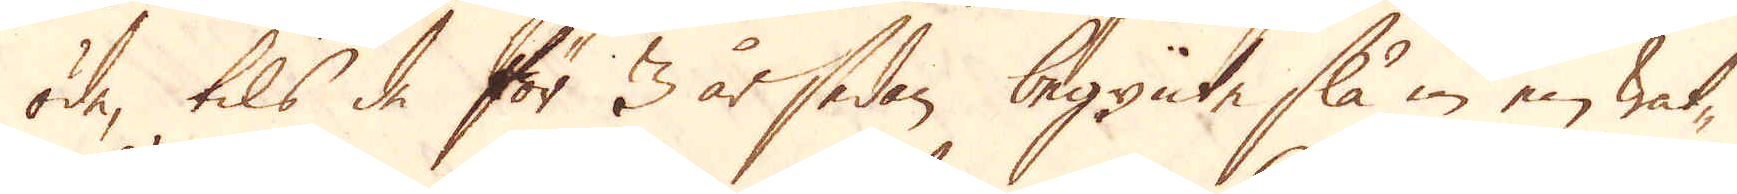öde, tils de för 3 år sedan begynte slå in en wat-
